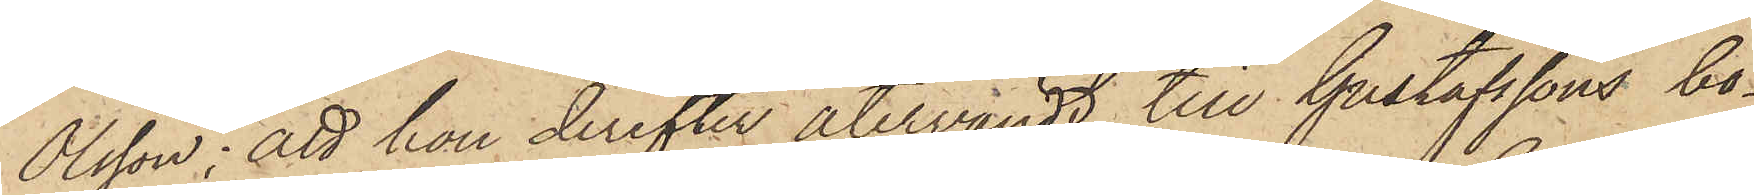Olsson: att hon derefter återvändt till Gustafssons bo¬
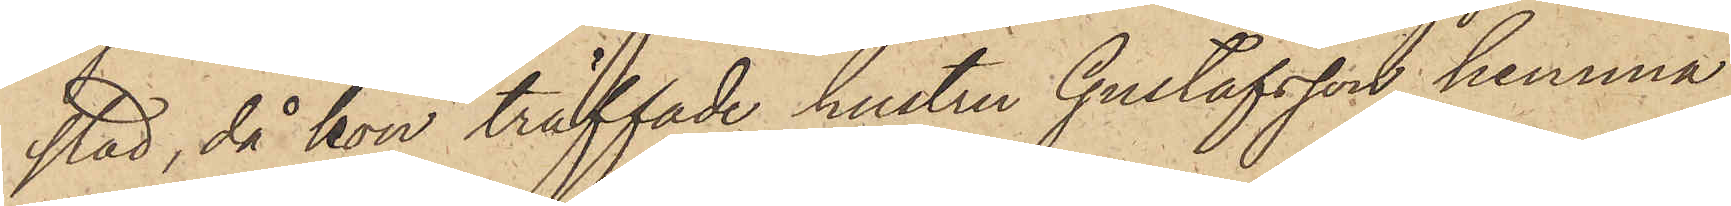stad, då hon träffade hustru Gustafsson hemma
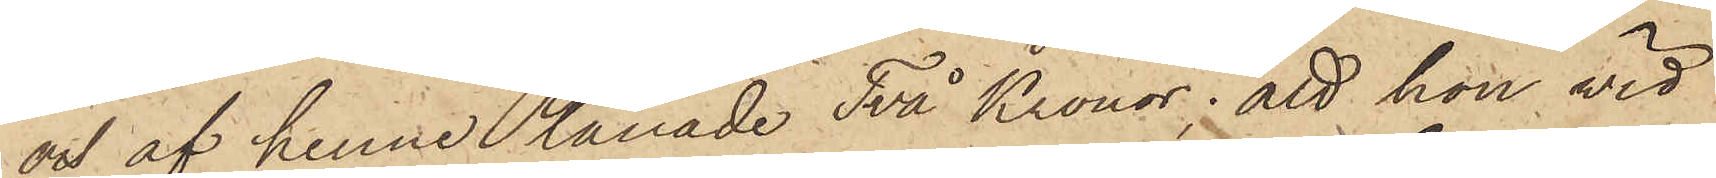och af henne lånade Två Kronor; att hon vid
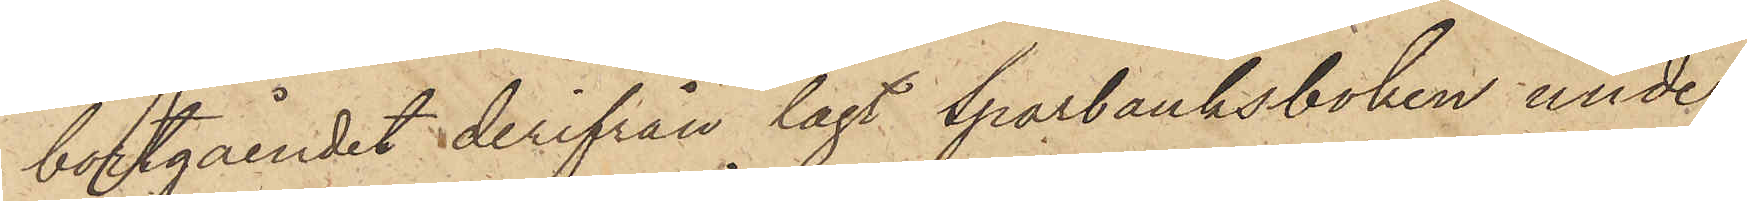bortgåendet derifrån lagt Sparbanksboken under
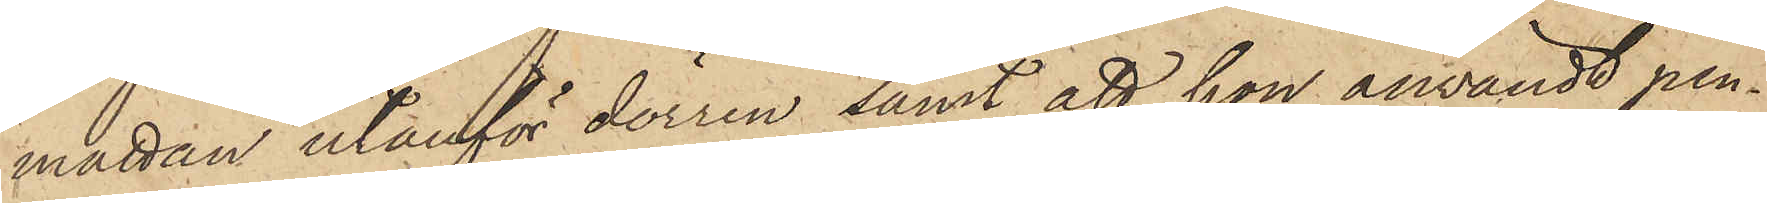mattan utanför dörren samt att hon användt pen¬
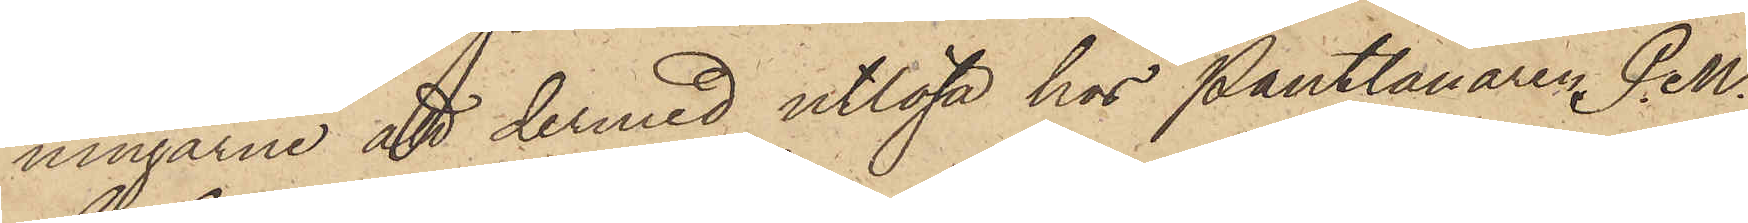ningarne att dermed utlösa hos Pantlånaren P.M.
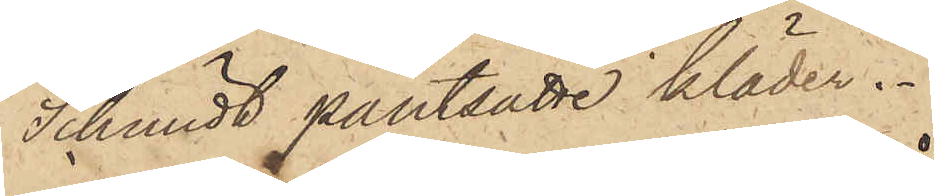Schmidt pantsatte kläder.
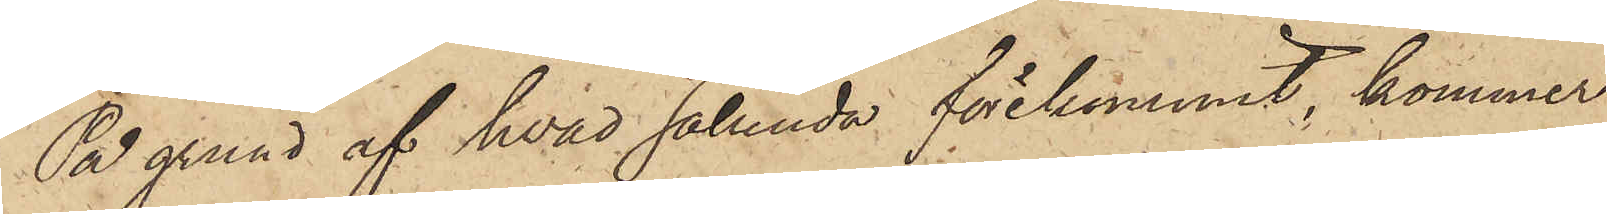På grund af hvad sålunda förekommit, kommer
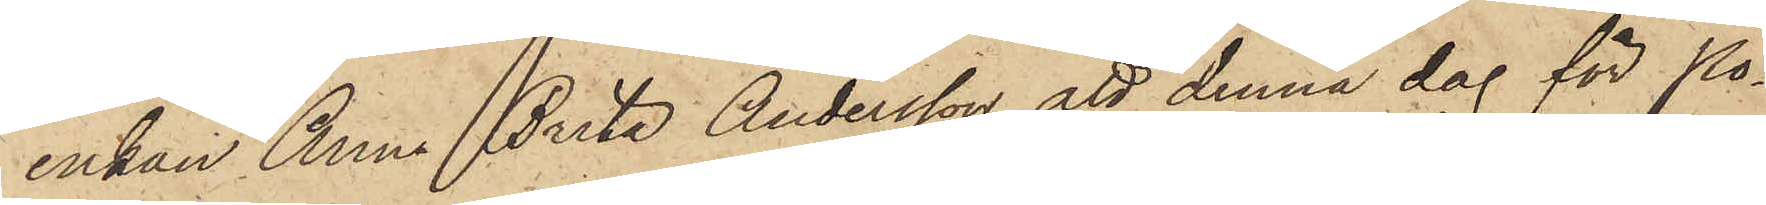enkan Anna Brita Andersson att denna dag för Po¬
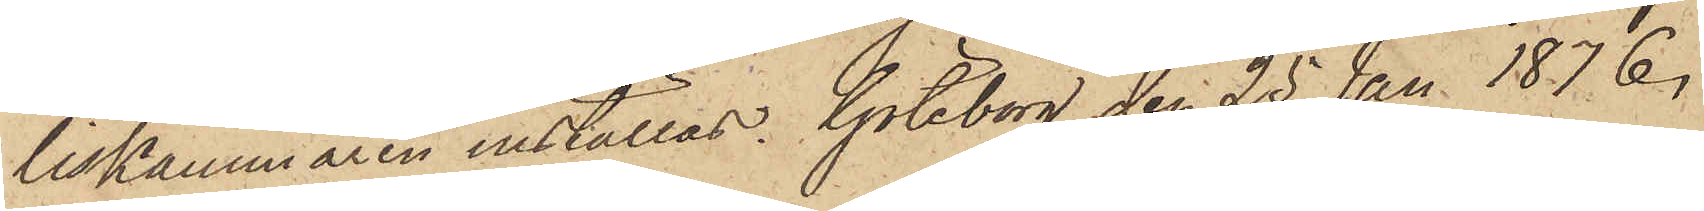liskammaren inställas. Göteborg den 25 Jan. 1876.
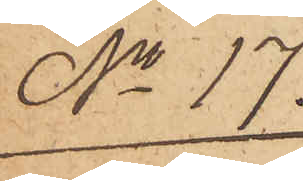No 17.
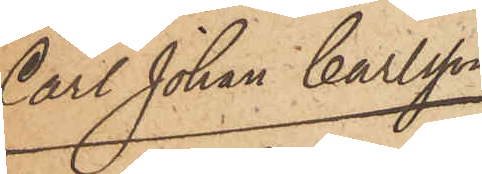Carl Johan Carlsson
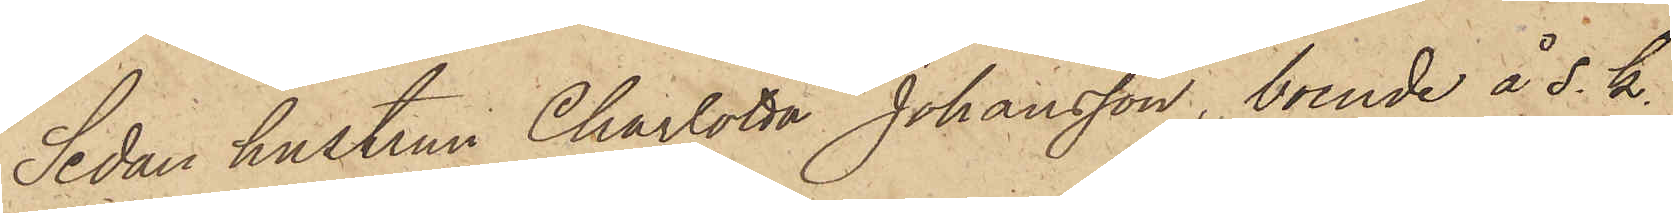Sedan hustrun Charlotta Johansson, boende å s. k.
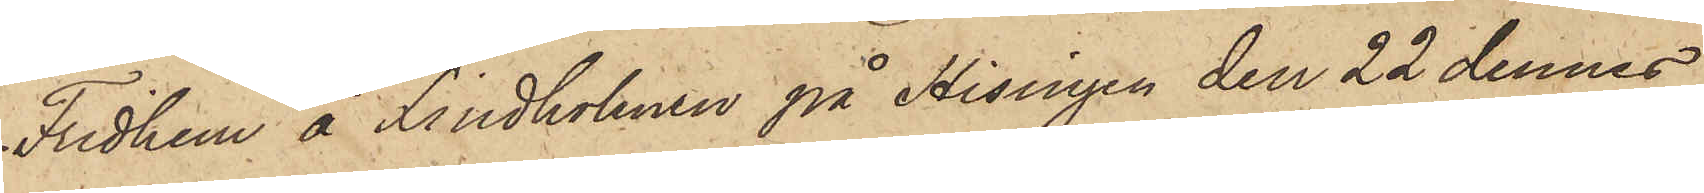Fridhem å Lindholmen på Hisingen den 22 dennes
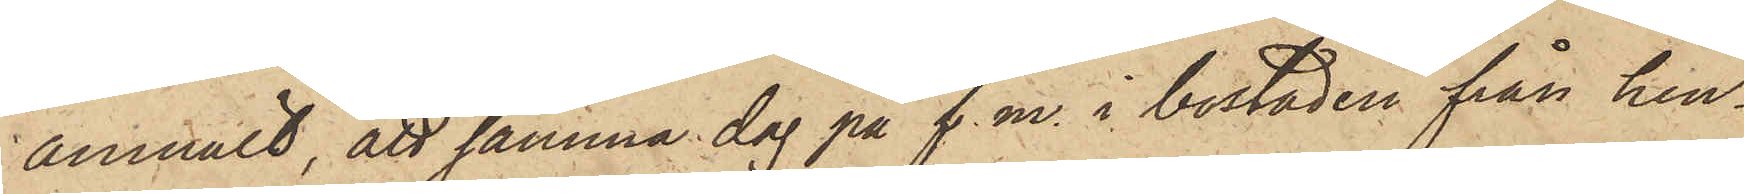anmält, att samma dag på f. m. i bostaden från hen¬
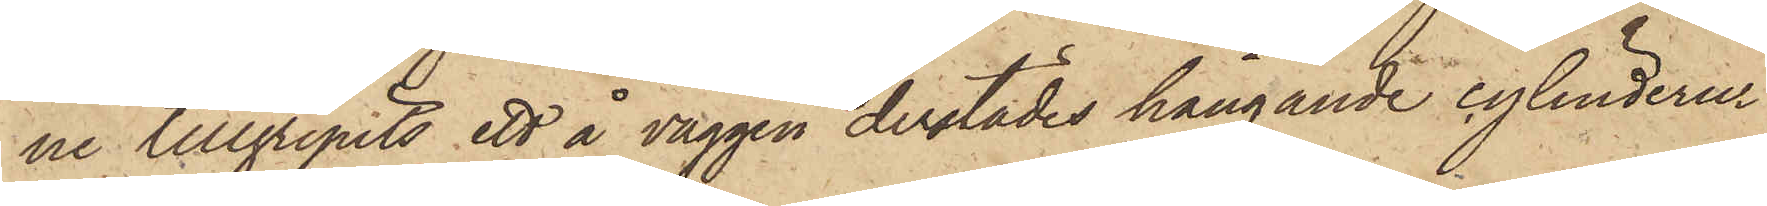ne tillgripits ett å väggen derstädes hängande cylinderur
